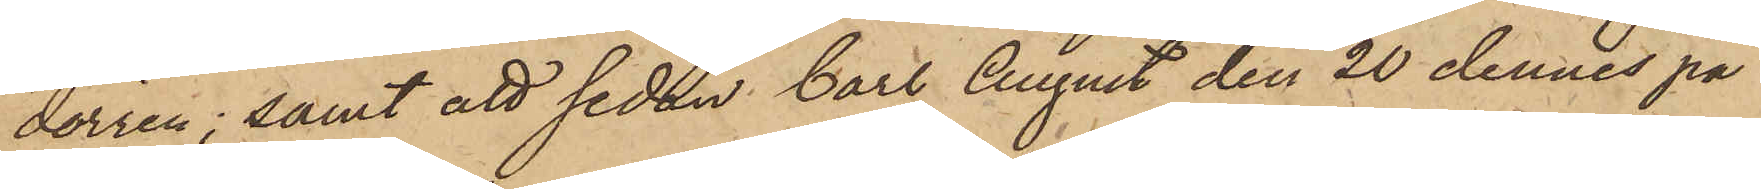dörren; samt att sedan Carl August den 20 dennes på
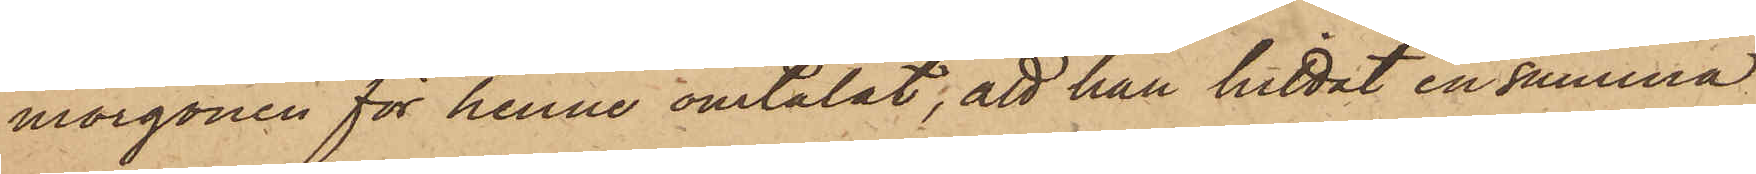morgonen för henne omtalat, att han hittat en summa
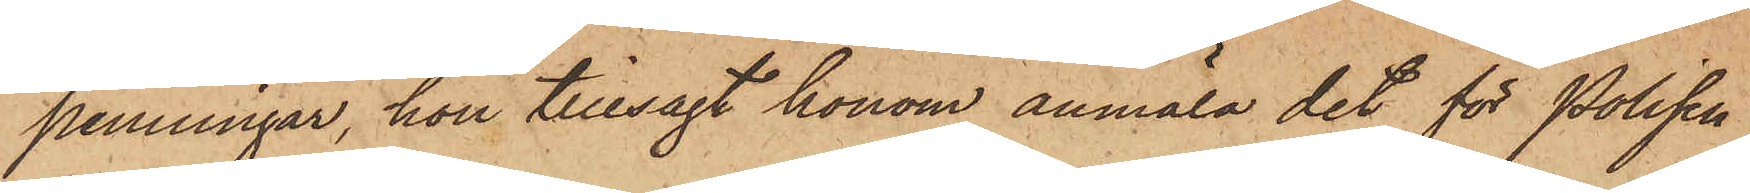penningar, hon tillsagt honom anmäla det för Polisen
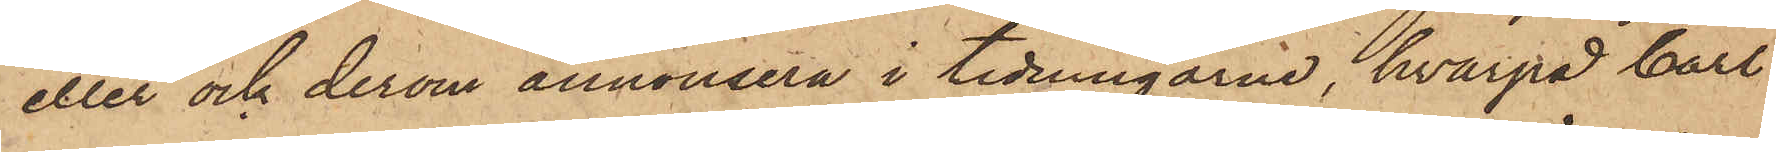eller och derom annonsera i tidningarne, hvarpå Carl
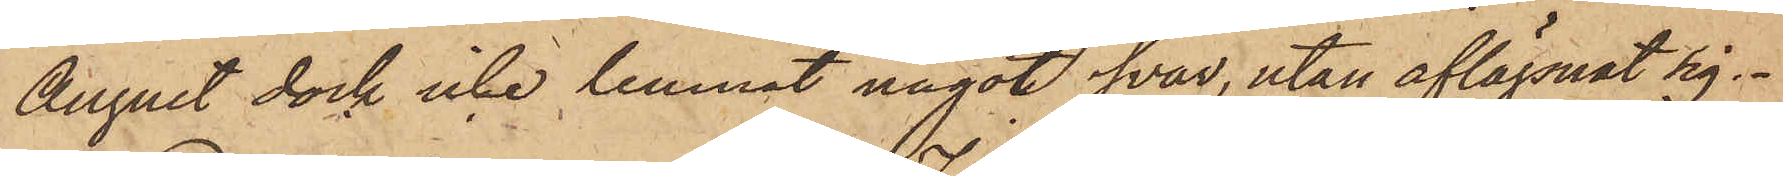August dock icke lemnat något svar, utan aflägsnat sig.
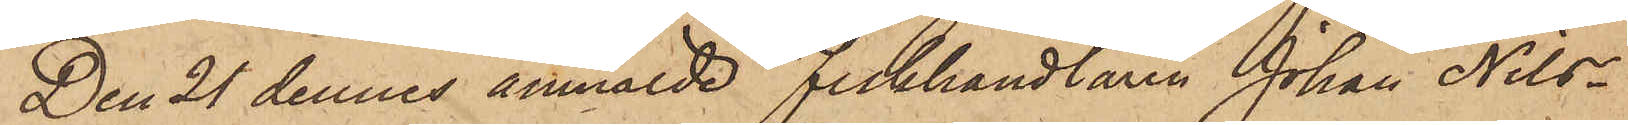Den 21 dennes anmälde Fiskhandlaren Johan Nils¬
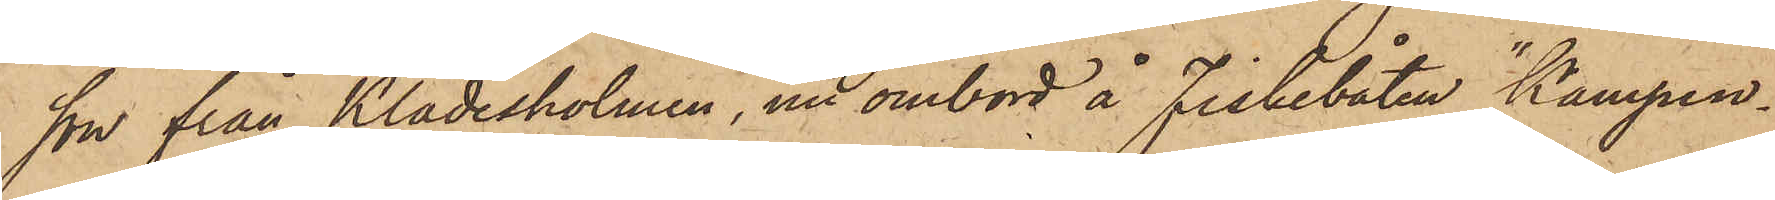son från Klädesholmen, nu ombord å Fiskebåten "Kampen¬
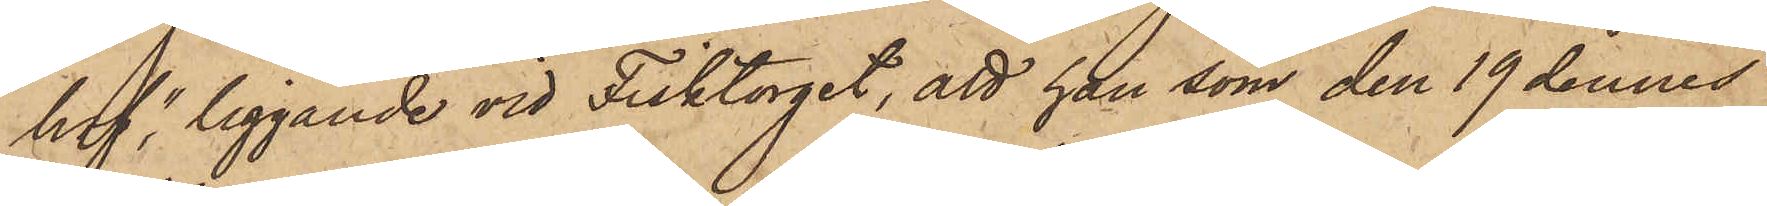hof" liggande vid Fisktorget, att han, som den 19 dennes
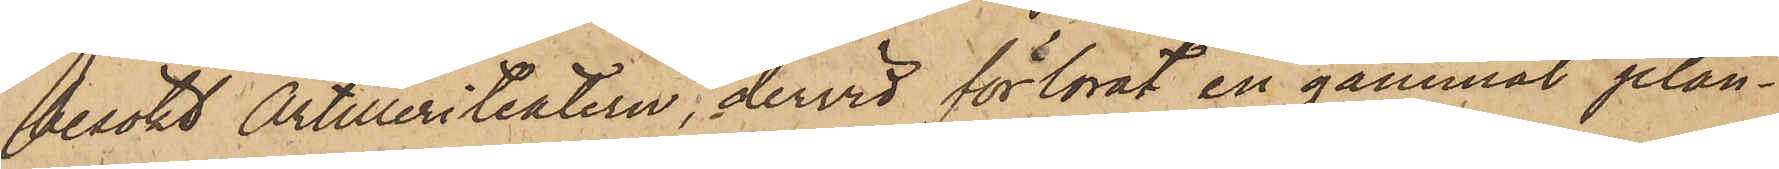besökt Artilleriteatern, dervid förlorat en gammal plån¬
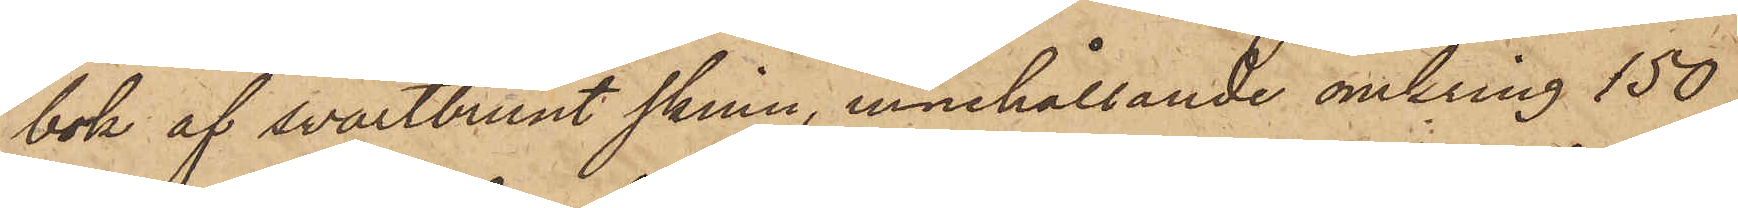bok af svartbrunt skinn, innehållande omkring 150
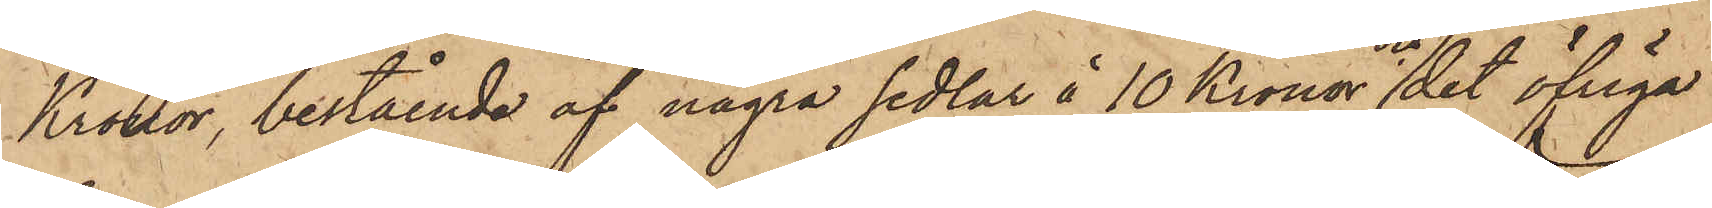Kronor, bestående af några sedlar å 10 Kronor och det öfriga
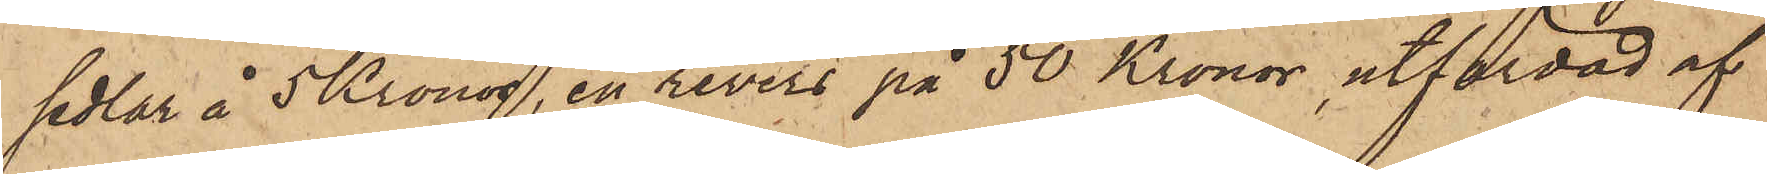sedlar å 5 Kronor, en revers på 50 Kronor, utfärdad af
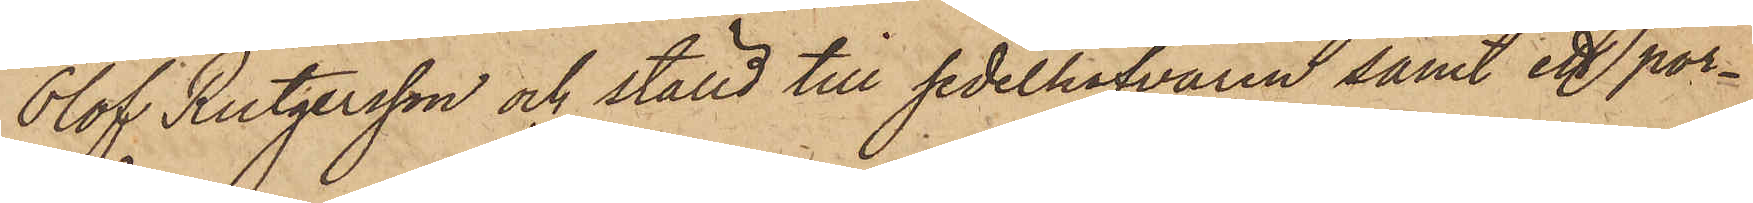Olof Rutgersson och ställd till sedelhafvaren samt ett port¬
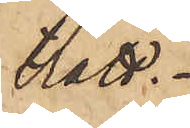rätt.
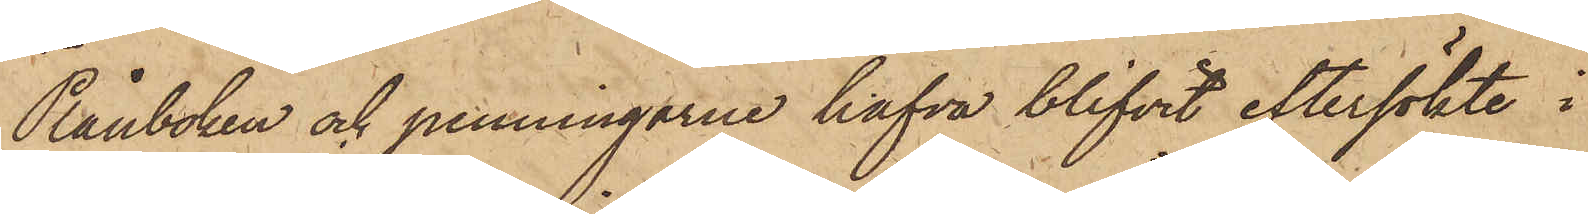Plånboken och penningarne hafva blifvit eftersökte i
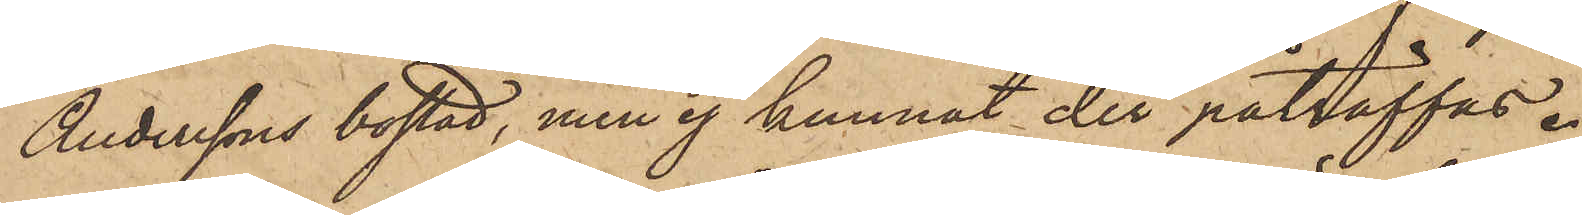Anderssons bostad, men ej kunnat der påträffas.
